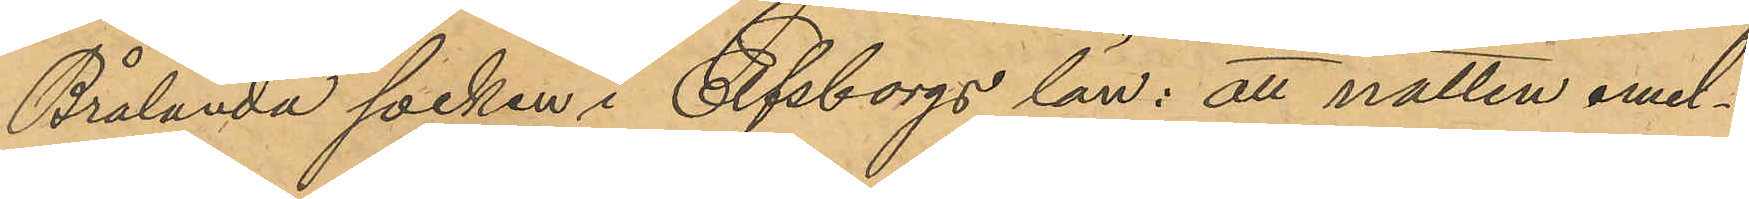Brålanda socken i Elfsborgs län: att natten emel¬
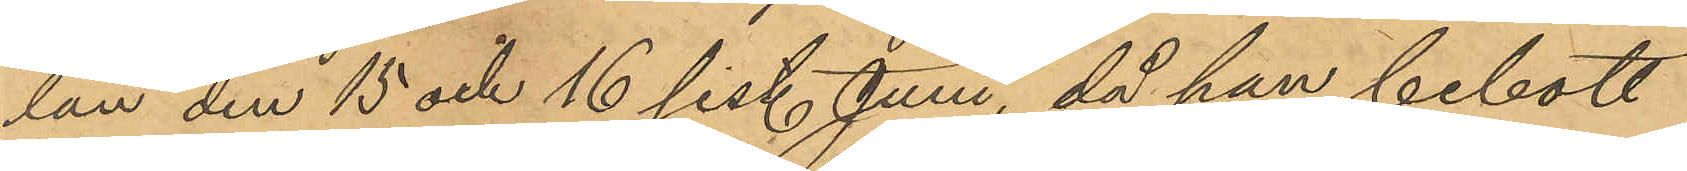lan den 15 och 16 sist. Juni, då han bebott
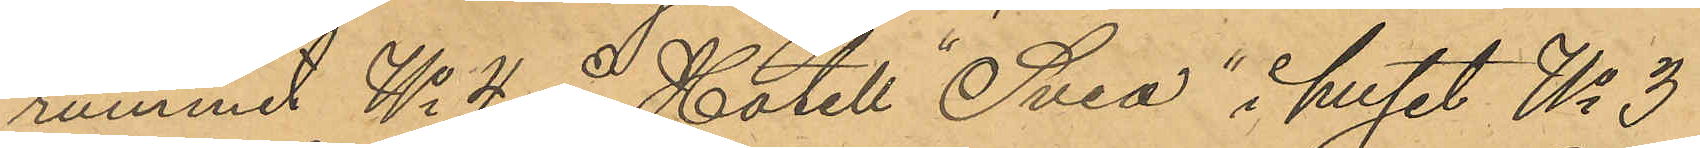rummet No 4 å Hotell "Svea" i huset No 3
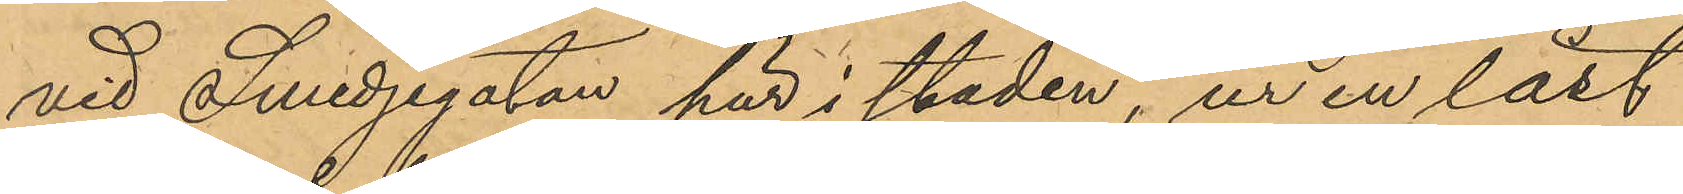vid Smedjegatan här i staden, ur en låst
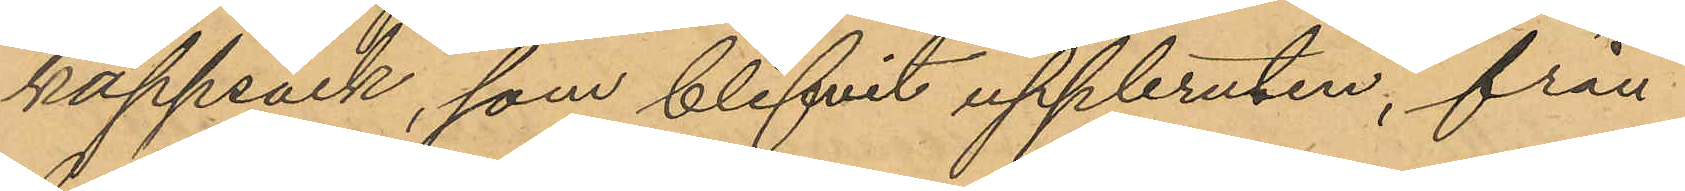kappsäck, som blifvit uppbruten, från
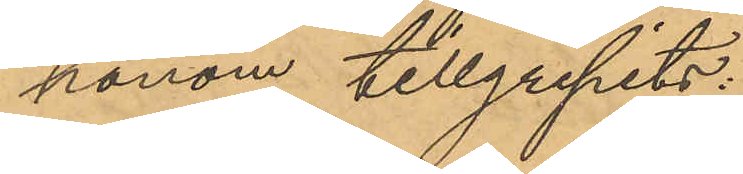honom tillgripits:
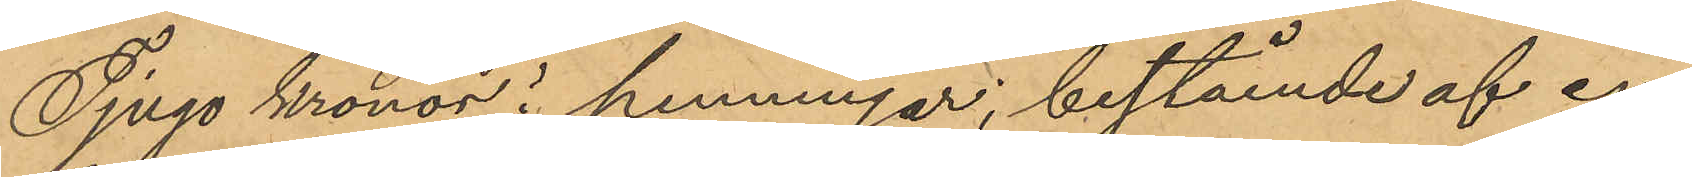Tjugo kronor i penningar, bestående af en
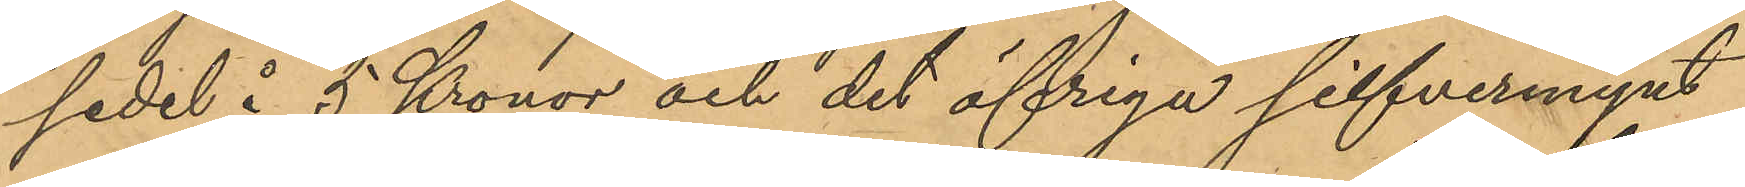sedel å 5 Kronor och det öfriga silfvermynt
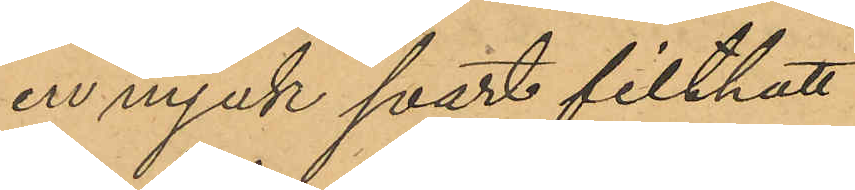en mjuk svart filthatt
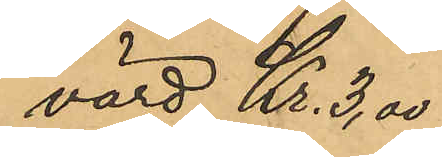värd Kr. 3,00
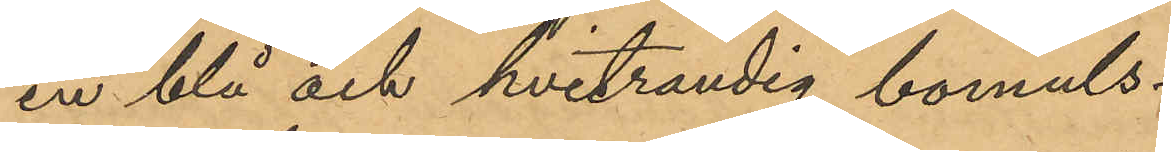en blå och hvitrandig bomuls¬
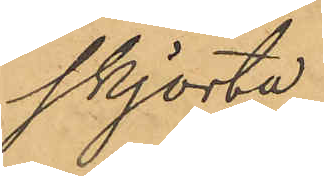skjorta
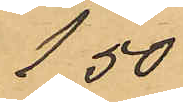1,50
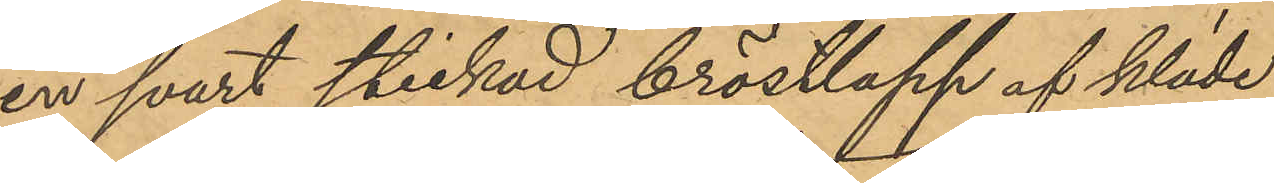en svart stickad bröstlapp af kläde
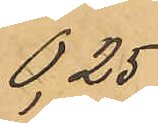0,25
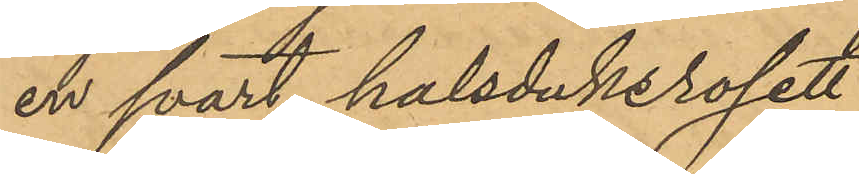en svart halsduksrosett
